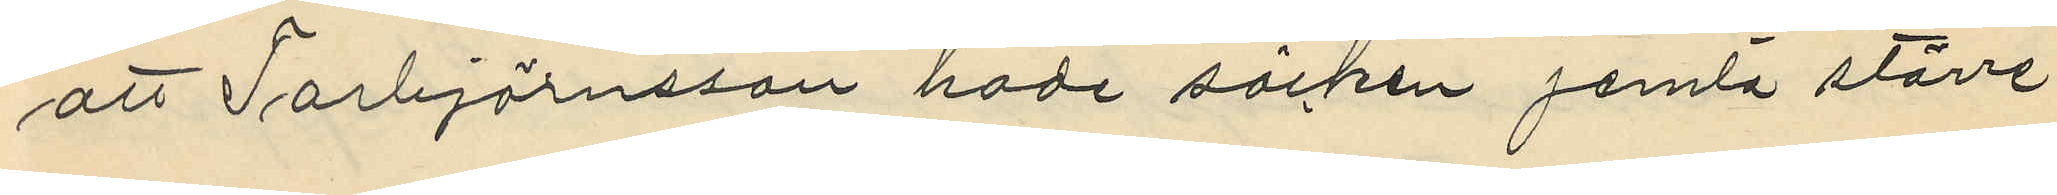att Torbjörnsson hade säcken jemta större
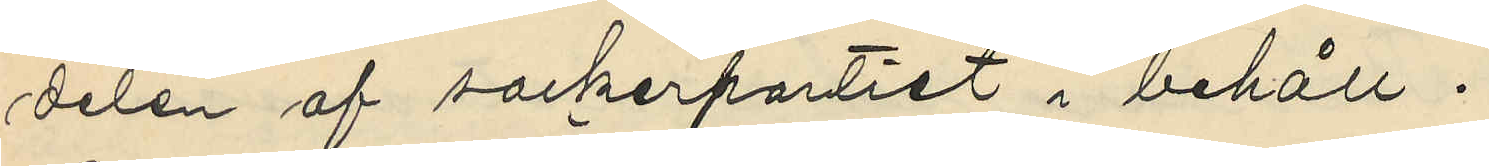delen af sockerpartiet i behåll.
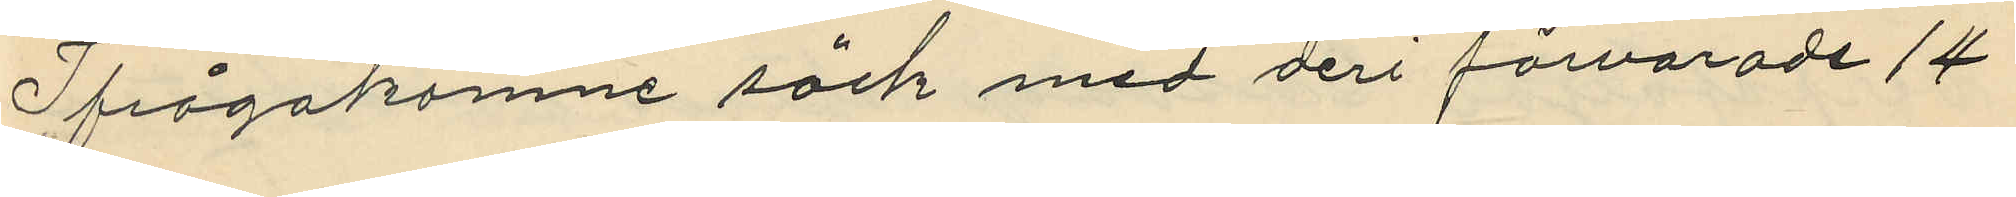Ifrågakomne säck med deri förvarade 14
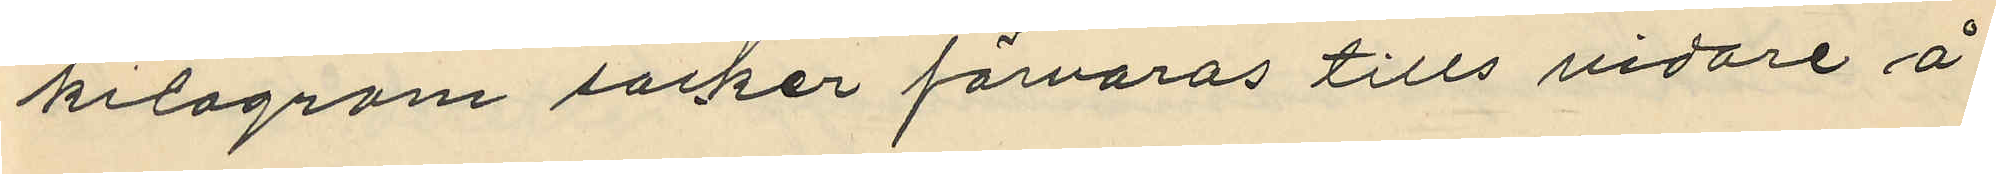kilogram socker förvaras tills vidare å
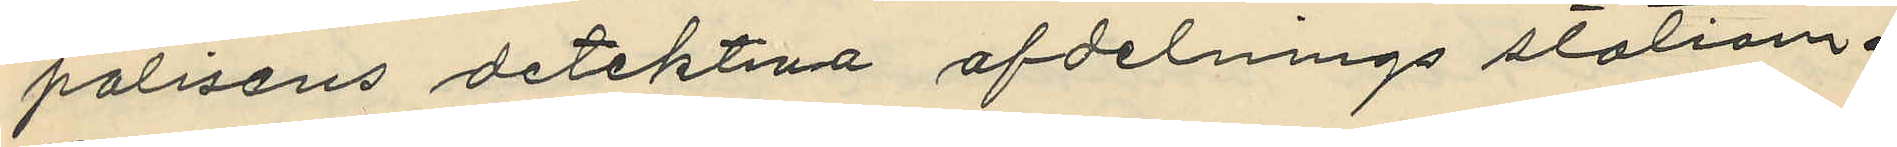polisens detektiva afdelningsstation.
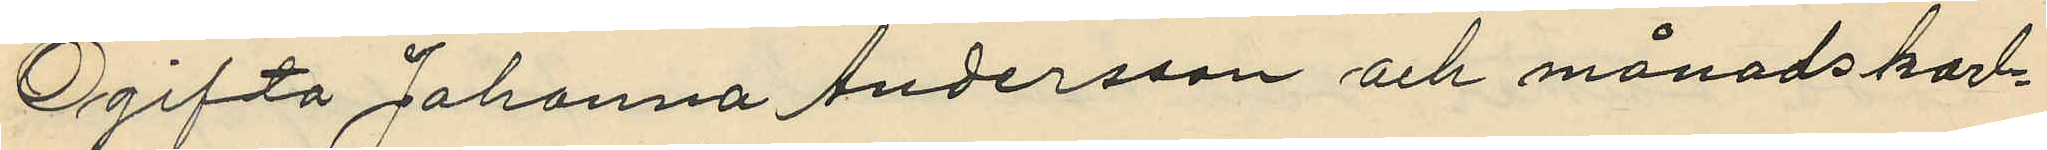Ogifta Johanna Andersson och månadskarl¬
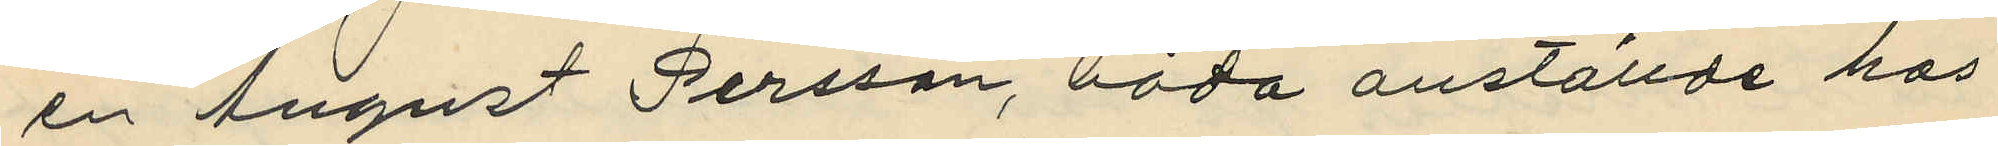en August Persson, båda anställde hos
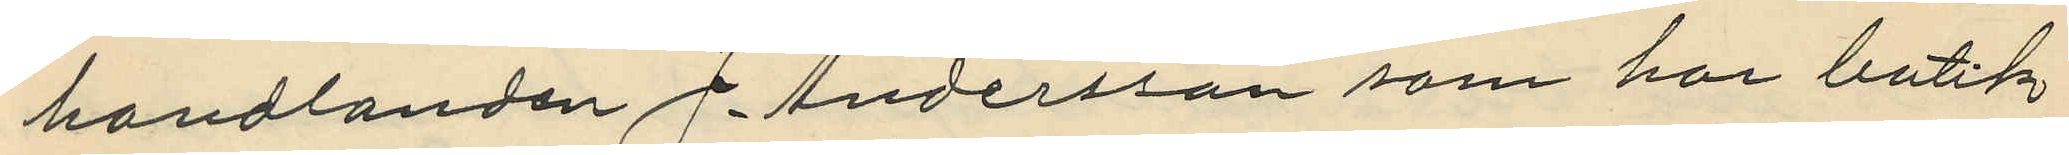handlanden J. Andersson som har butik
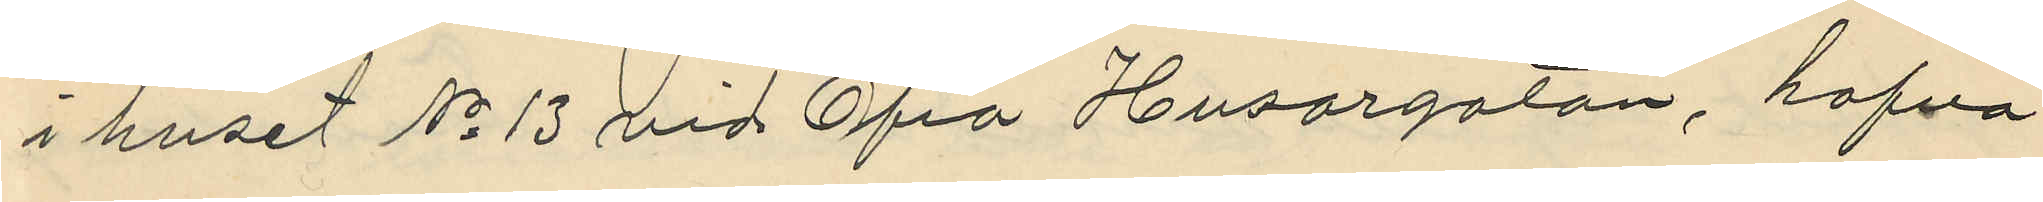i huset No 13 vid Öfra Husargatan, hafva
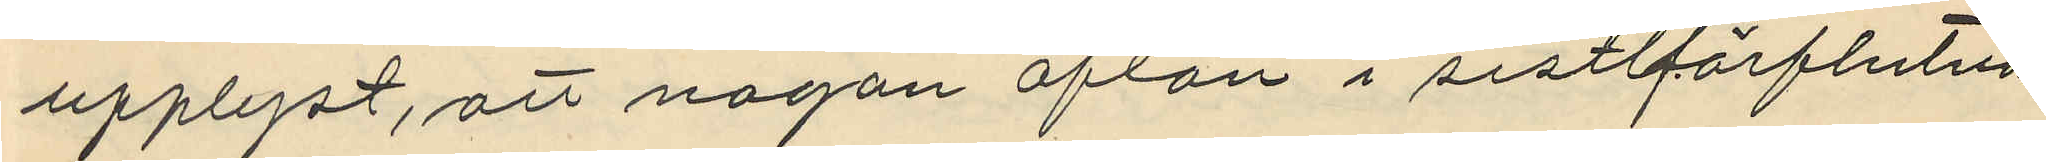upplyst, att någon afton i sistförflutna
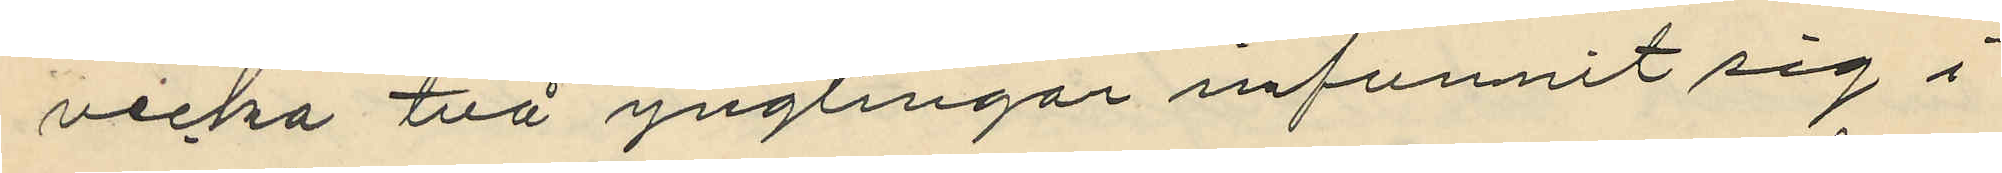vecka två ynglingar infunnit sig i
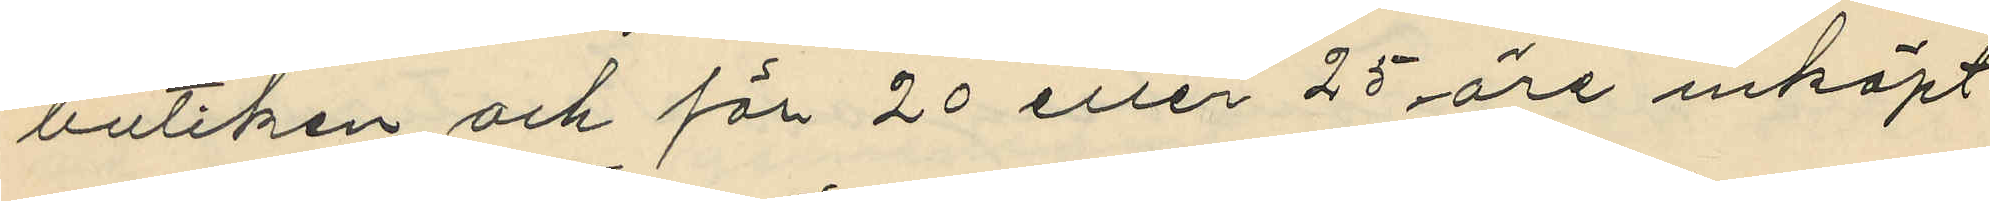butiken och för 20 eller 25 öre inköpt
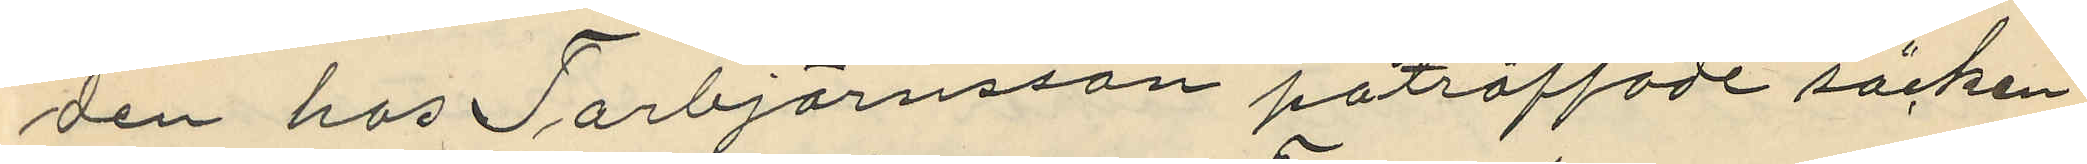den hos Torbjörnsson påträffade säcken
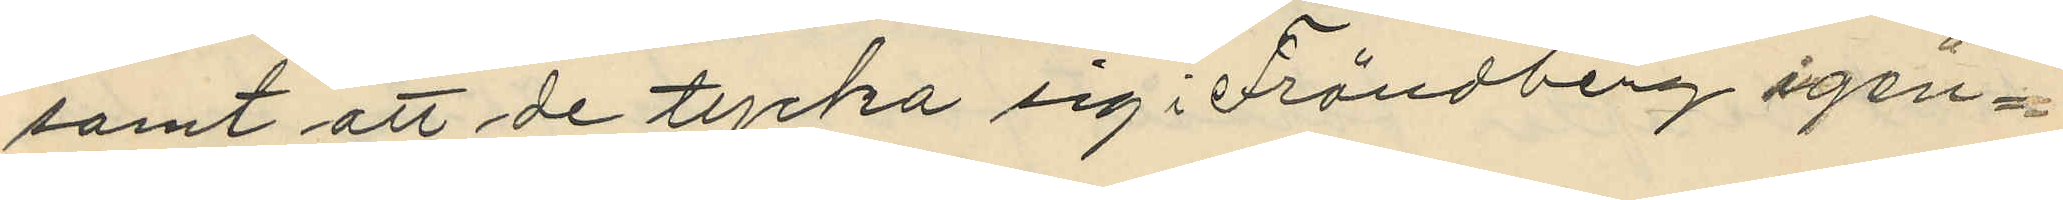samt att de tycka sig i Frändberg igen¬
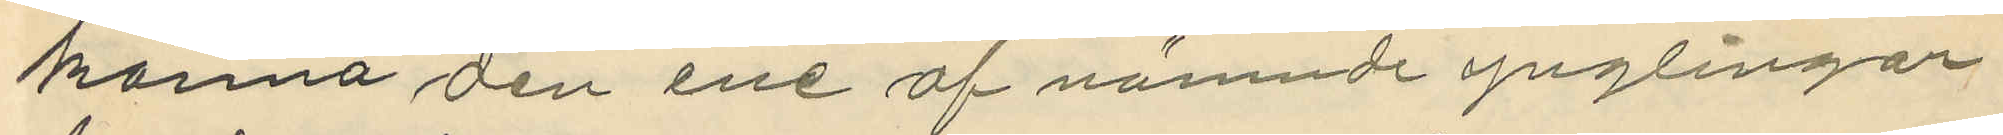känna den ene af nämnde ynglingar.
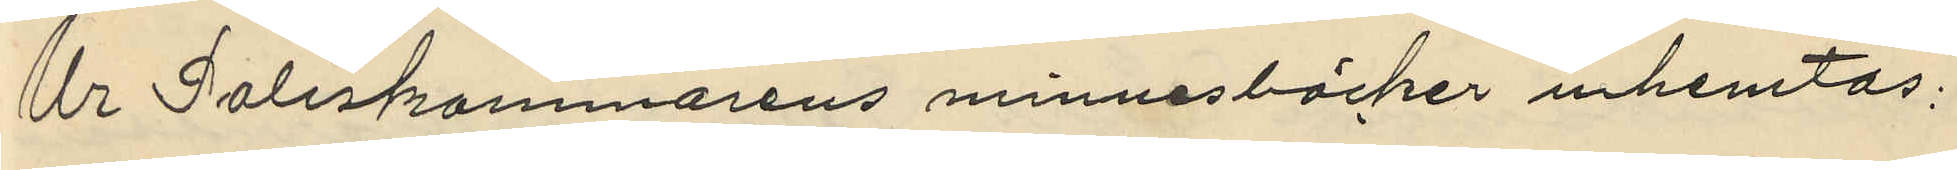Ur Poliskammarens minnesböcker inhemtas:
